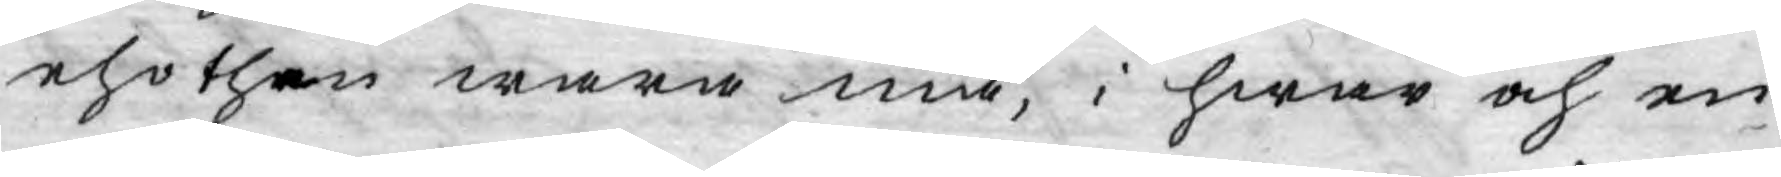eho then wara må, i hwar och en
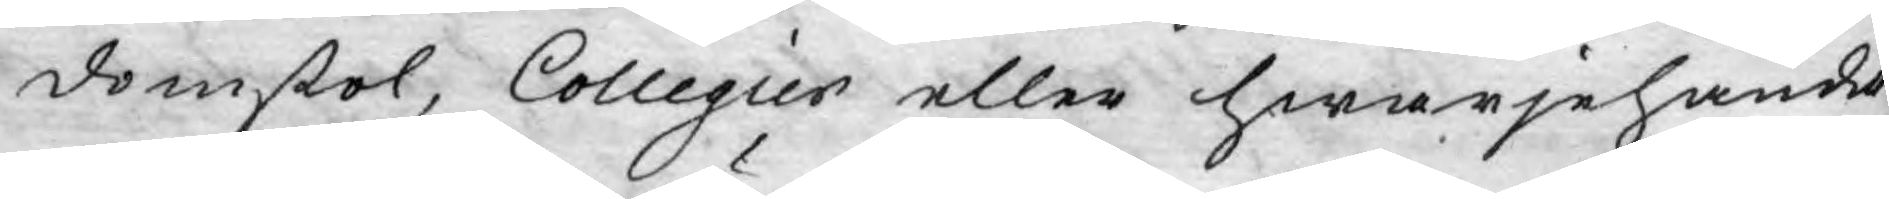domstol, Collegier eller hwarjehanda
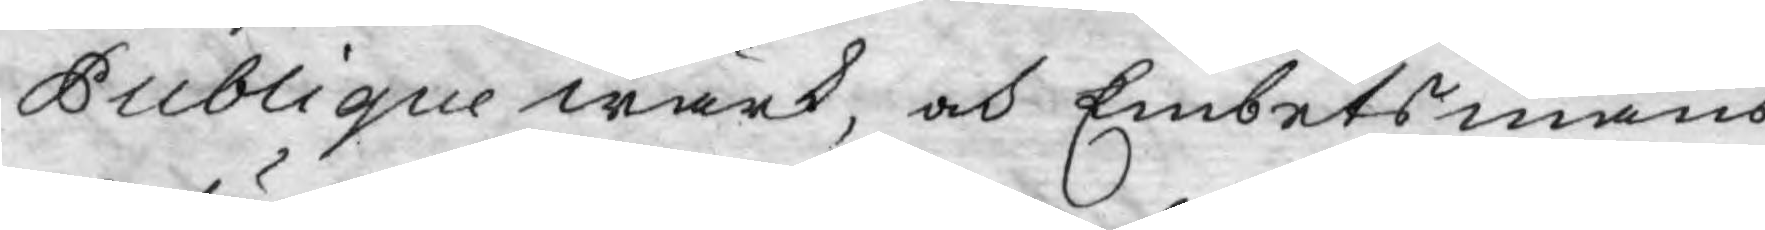Publique wärk, och Embetsmäns
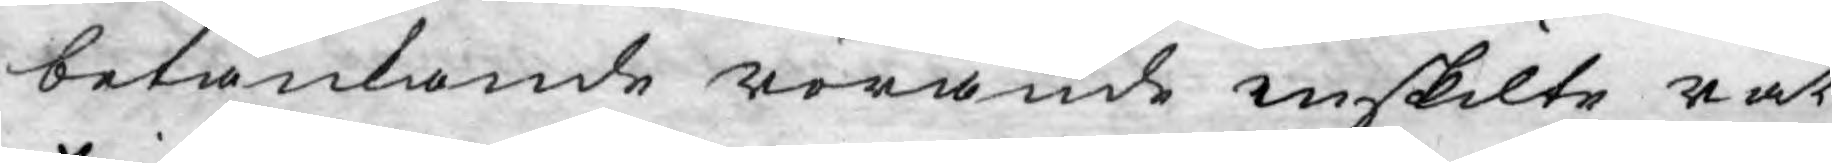betänkande rörande enskilte rät¬
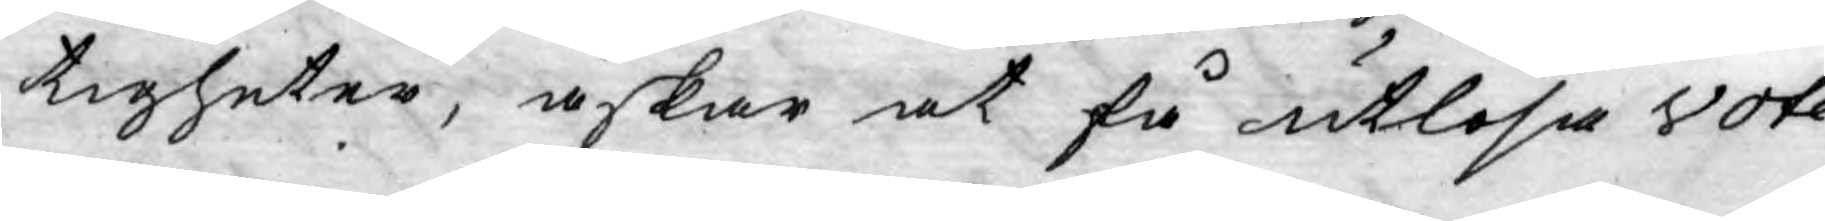tigheter, äskar at få utlösa vote¬
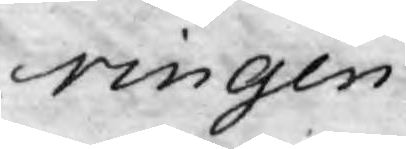ringen.
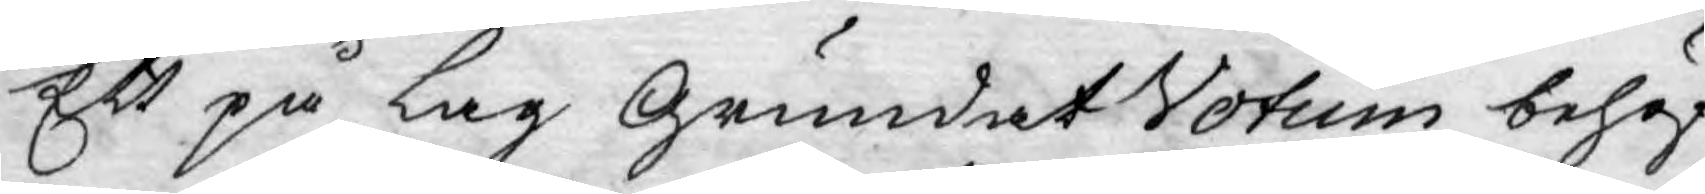Ett på Lag grundat Votum behöf¬
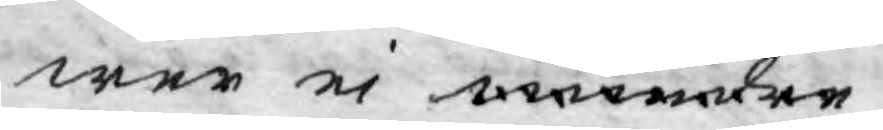wer ej mindre
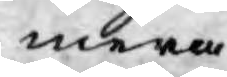mera
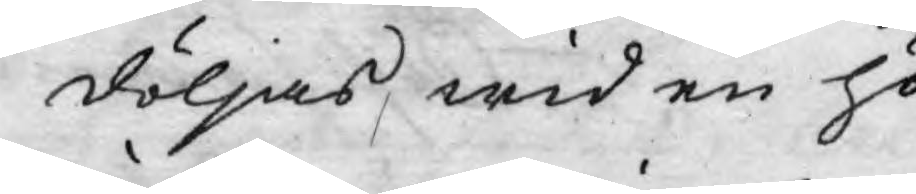döljas, wid en hö¬
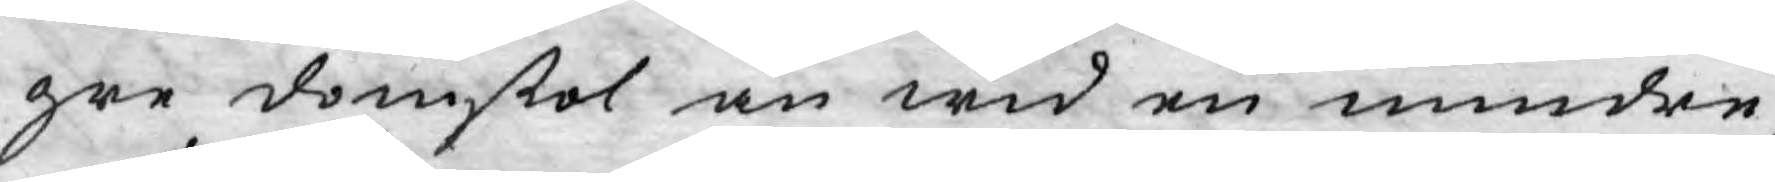gre domstol än wid en mindre,
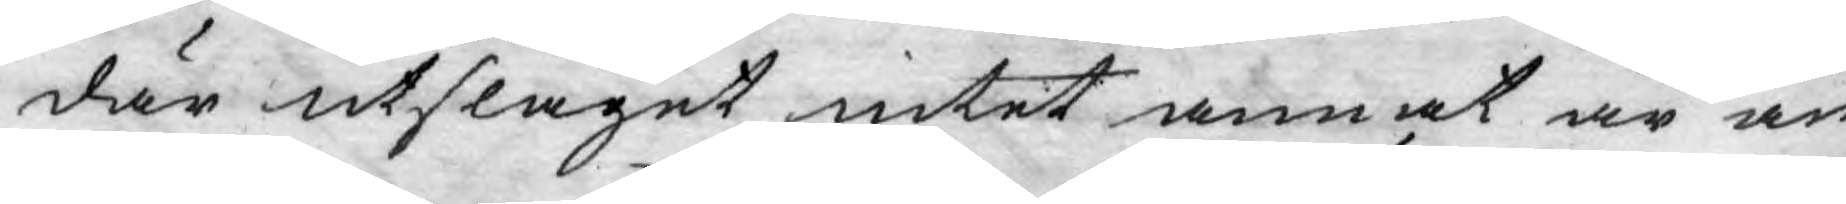där utslaget intet annat är än
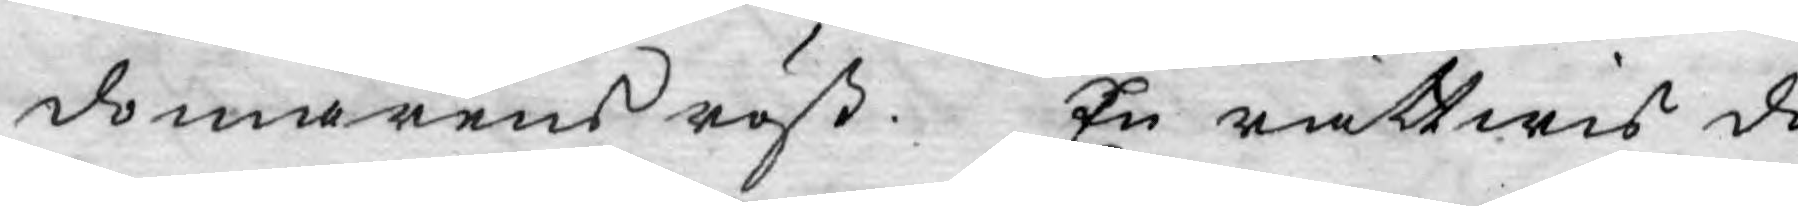domarens röst. En rättwis do¬
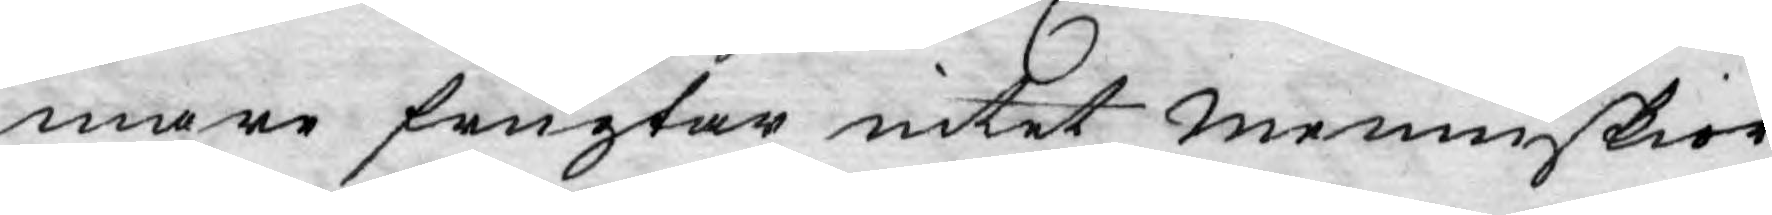mare frugtar intet menniskior,
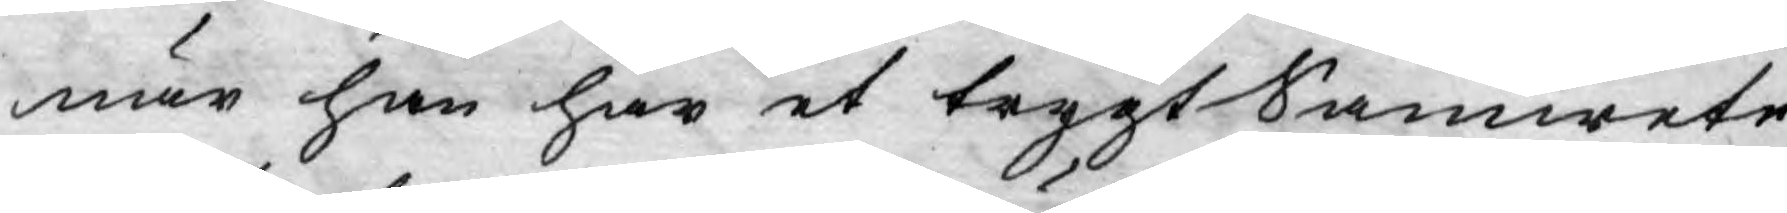när han har et trygt Samwete,
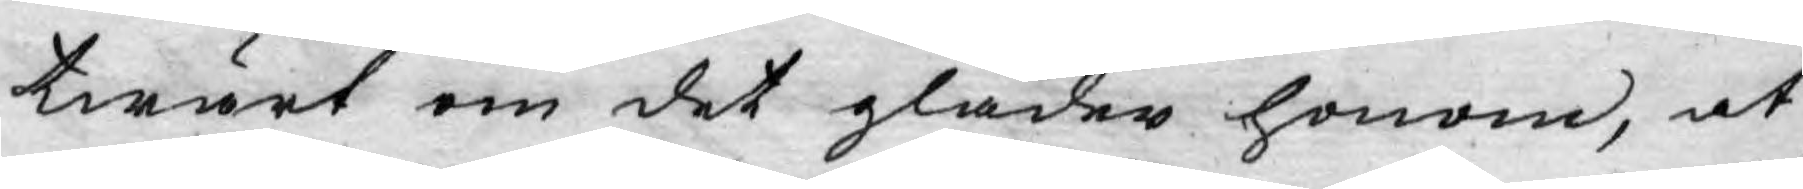twärt om det gläder honom, at
